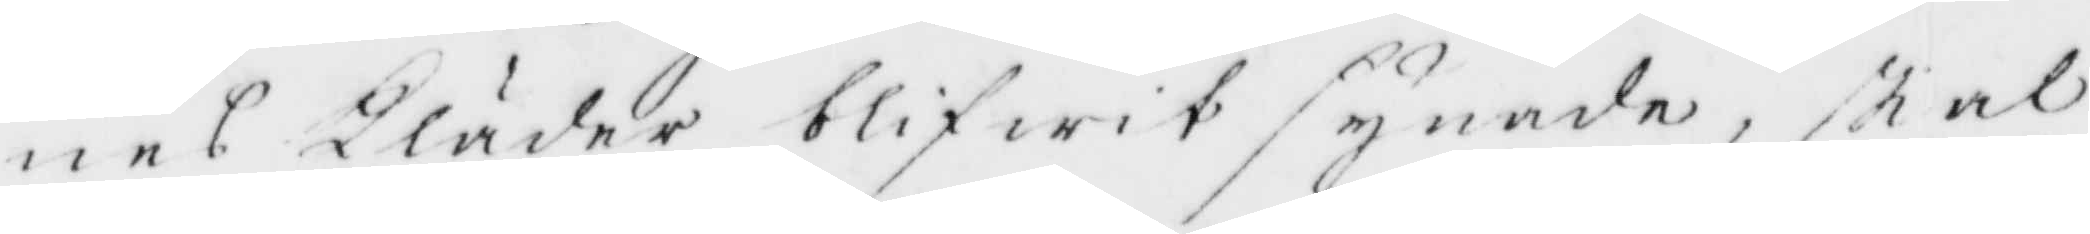nes Kläder blifwit synade, skal
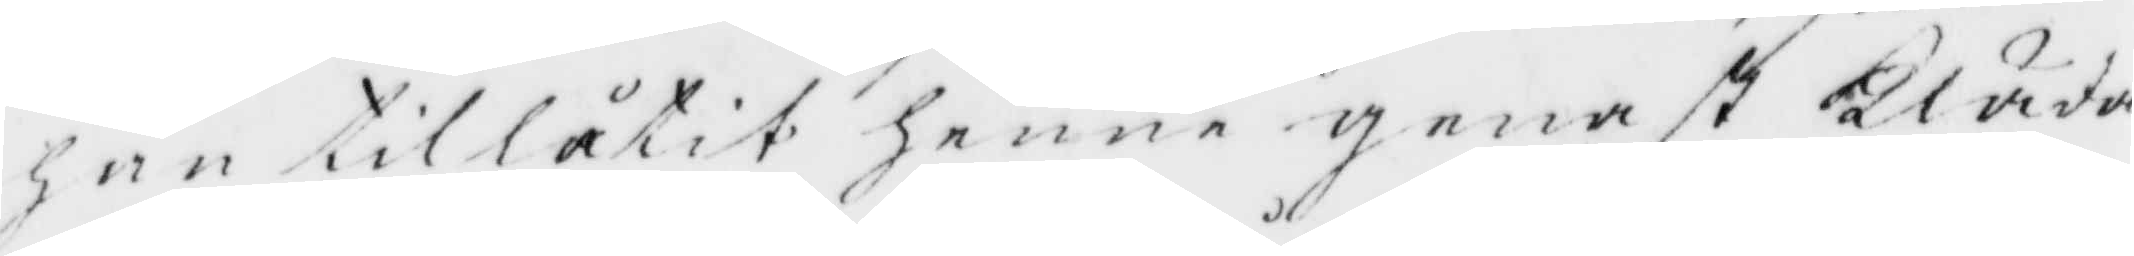han tillåtit henne genast Kläda
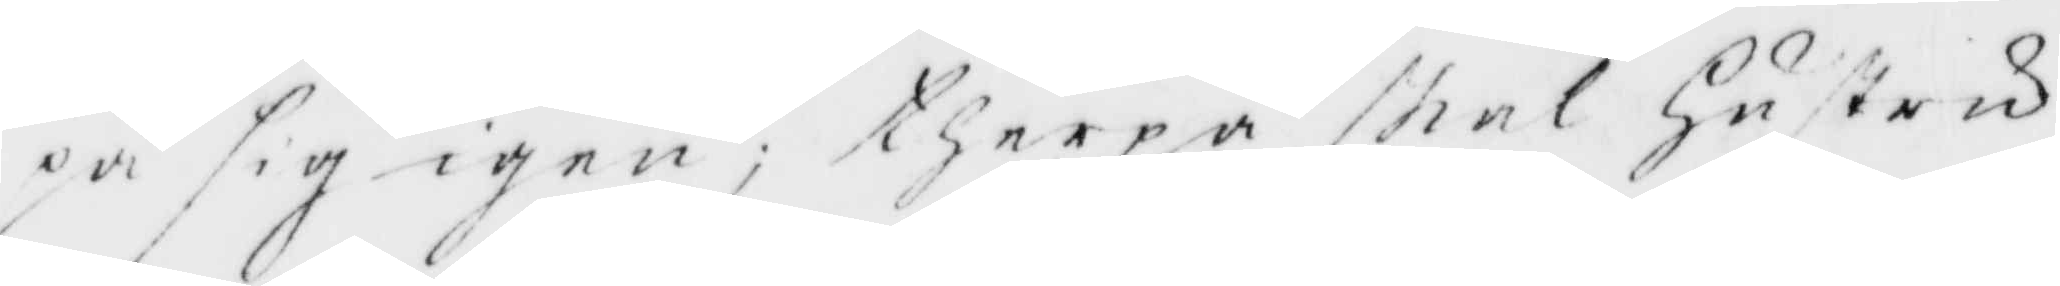på sig igen, therpå skal Hustru
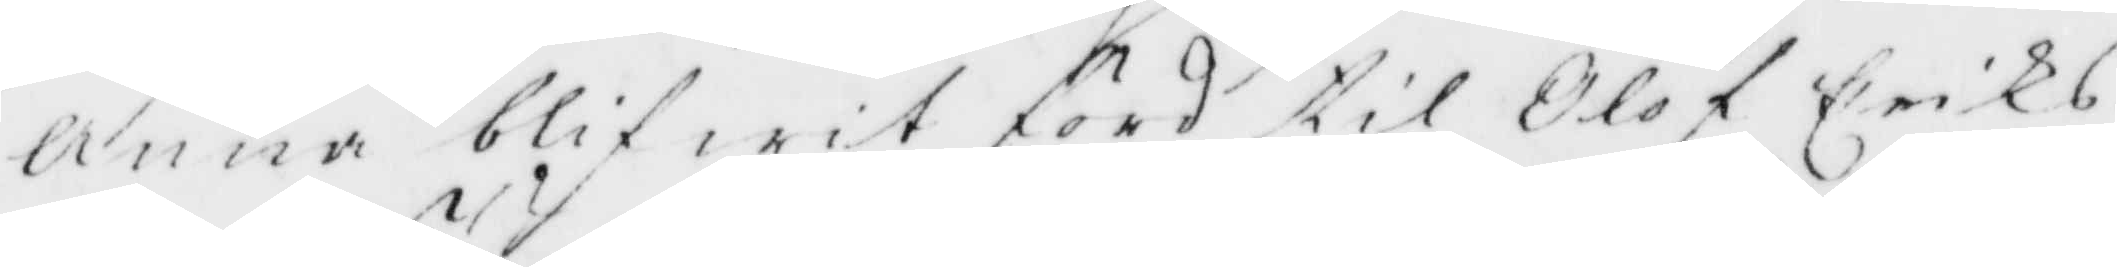Anna blifwit förd till Olof Eriks¬
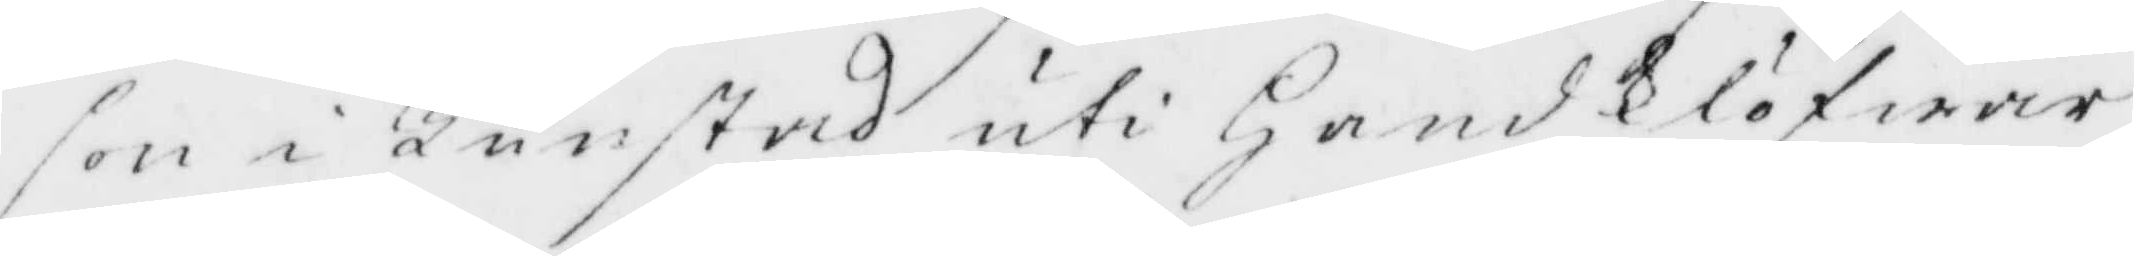son i Tunstad uti Hand klöfwer,
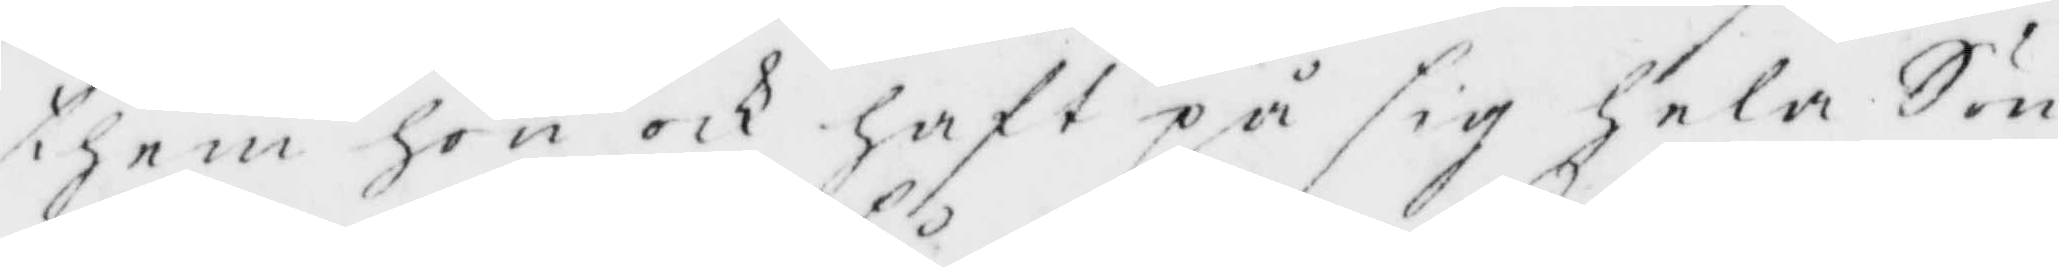them hom och haft på sig hela Sön¬
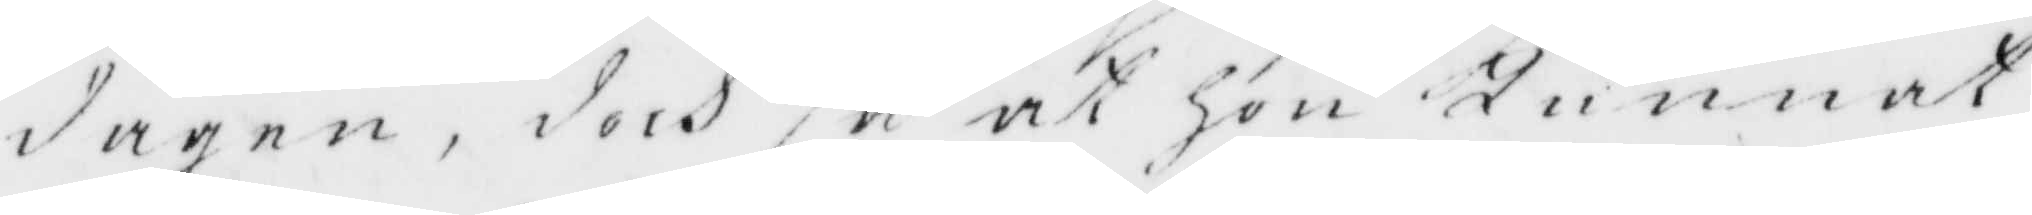dagen, doch så at hon Kunnat
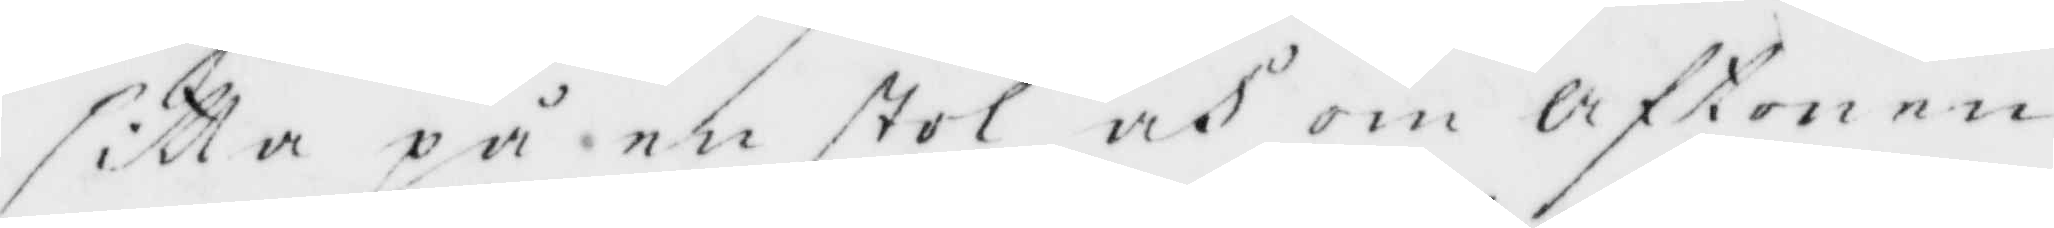sitta på en stol och om aftonen
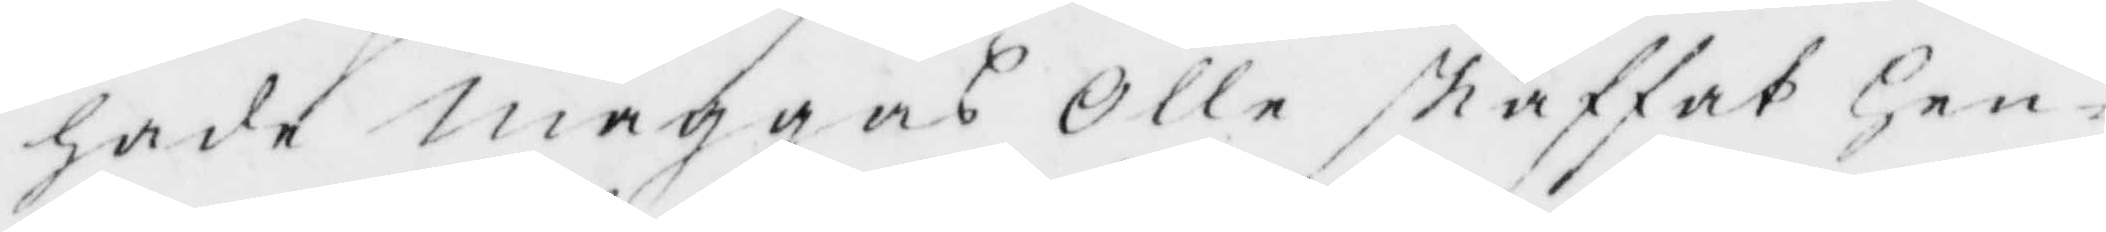hade maggans Olle skaffat Hen¬
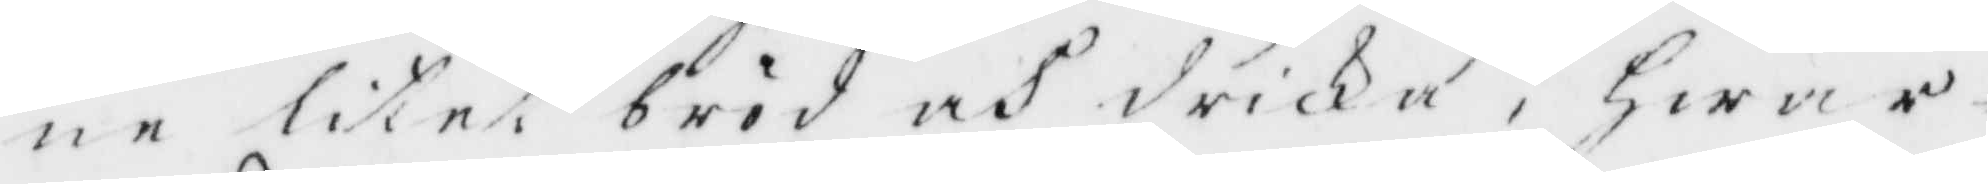ne litet bröd och dricka, Hwar¬
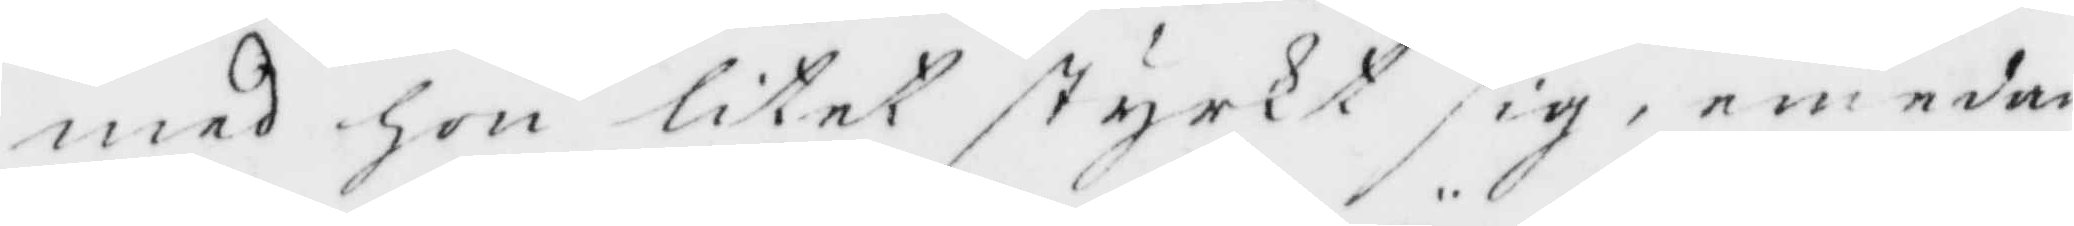med hon litet styrkt sig, emedan
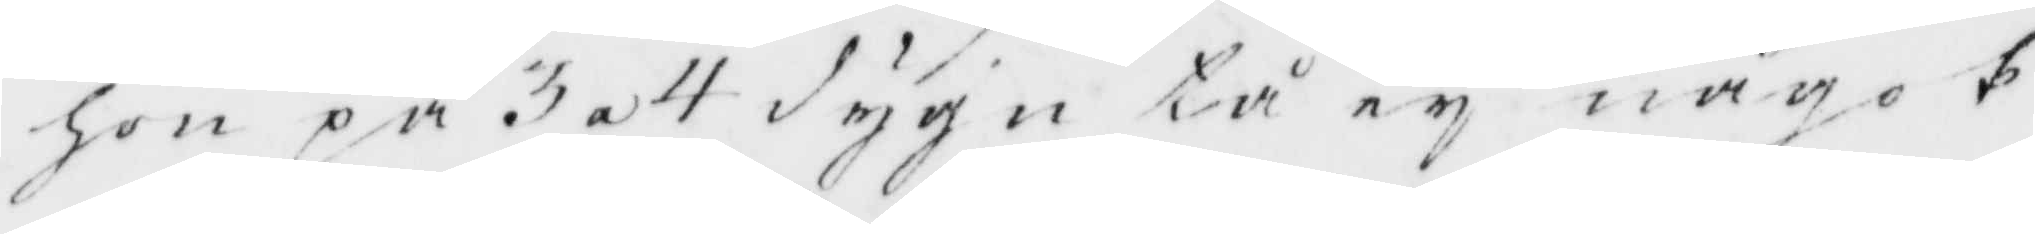hon på 3 a 4 dygn tå ey något
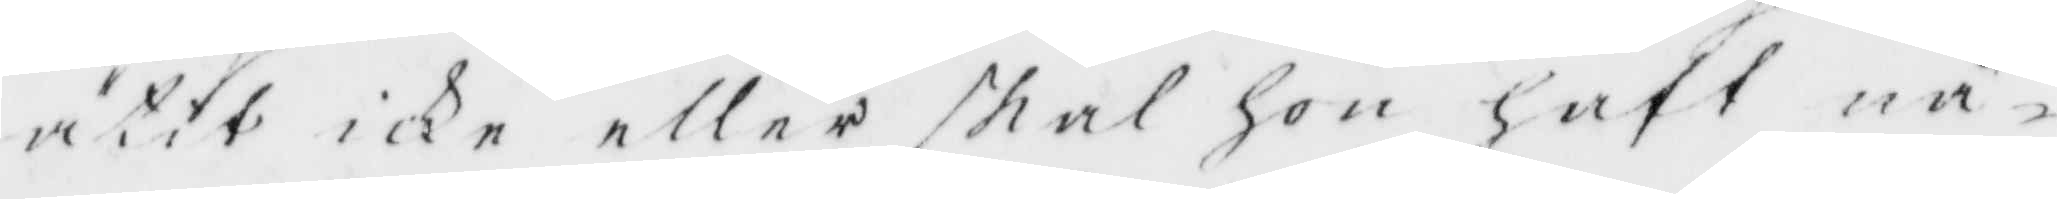ätit icke eller skal hon haft nå¬
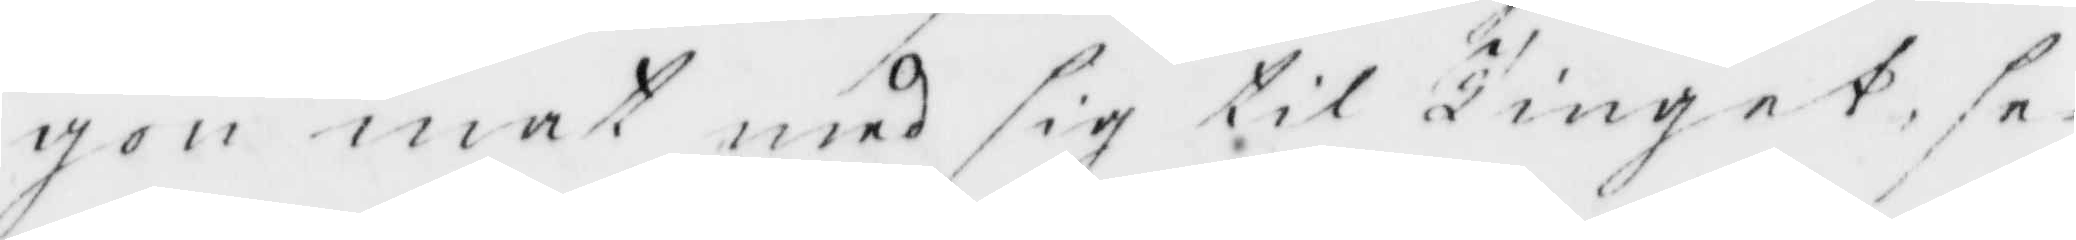gon mat med sig til Tinget, se¬
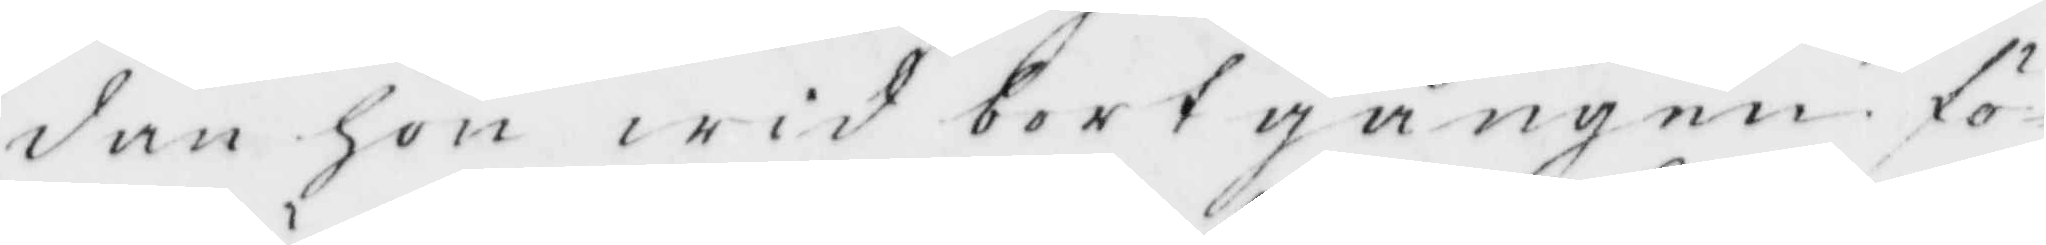dan hon wid bortgången fö¬
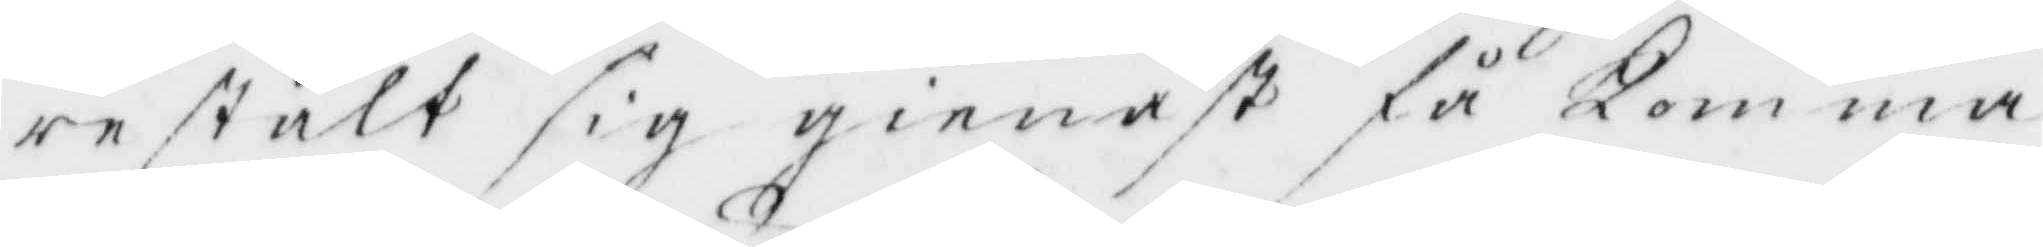restält sig gienast få Komma
